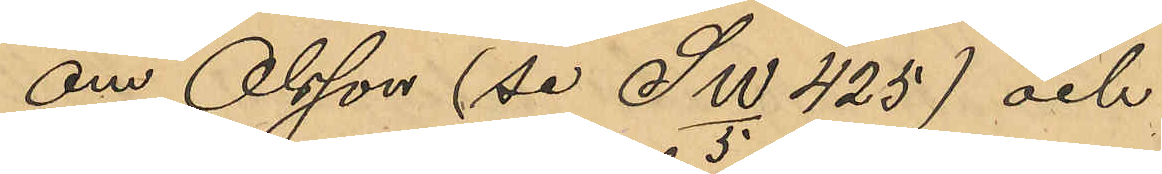om Olsson (se Sw/3 425) och
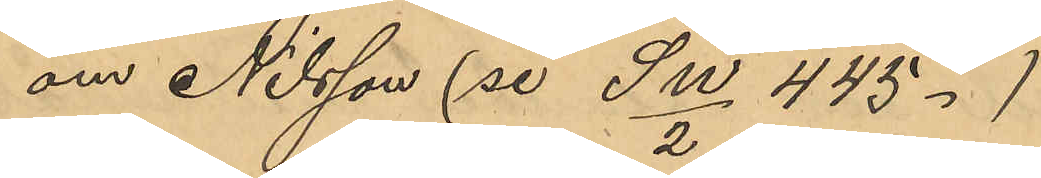om Nilsson (se Sw/2 445.)
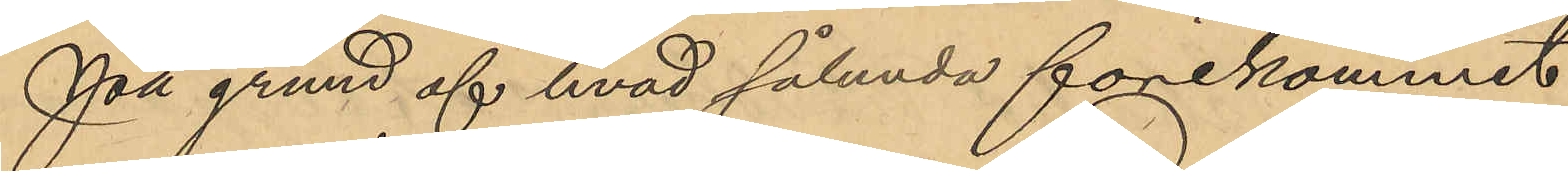På grund af hvad sålunda förekommit
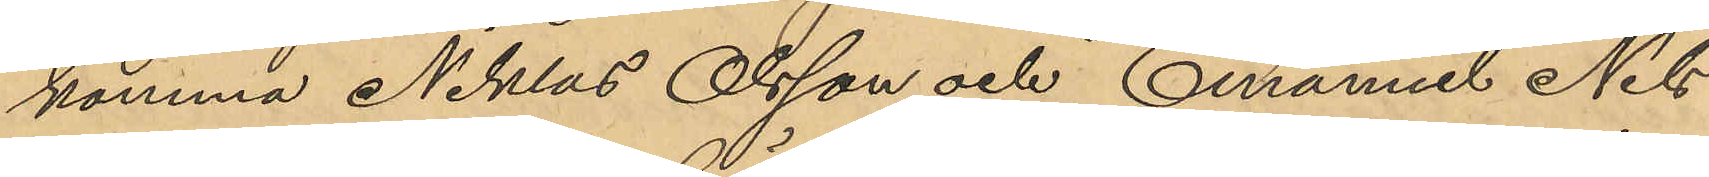komma Niklas Olsson och Emanuel Nils¬
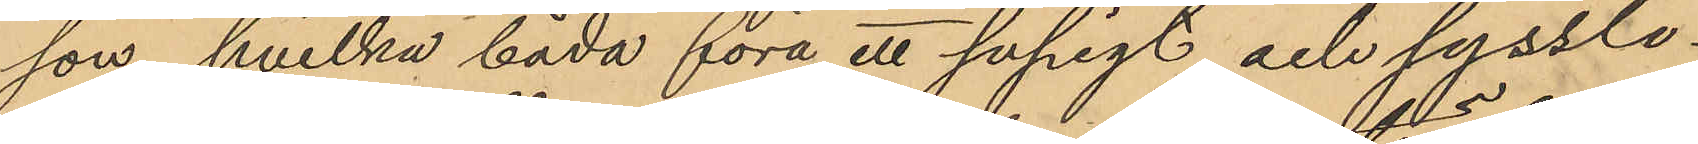son, hvilka båda föra ett supigt och sysslo¬
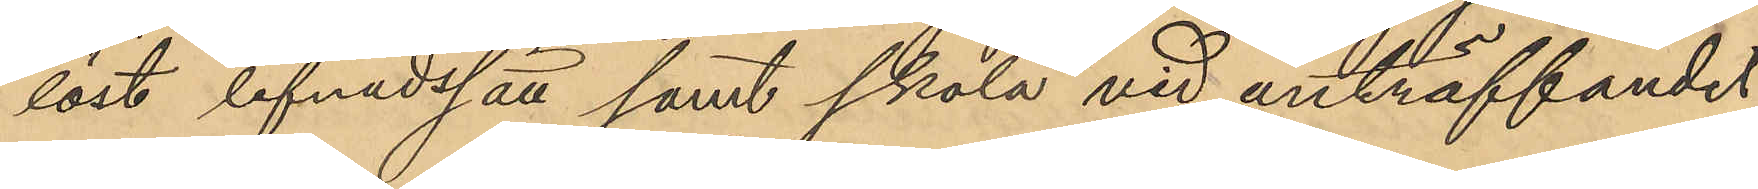löst lefnadssätt samt skola vid anträffande
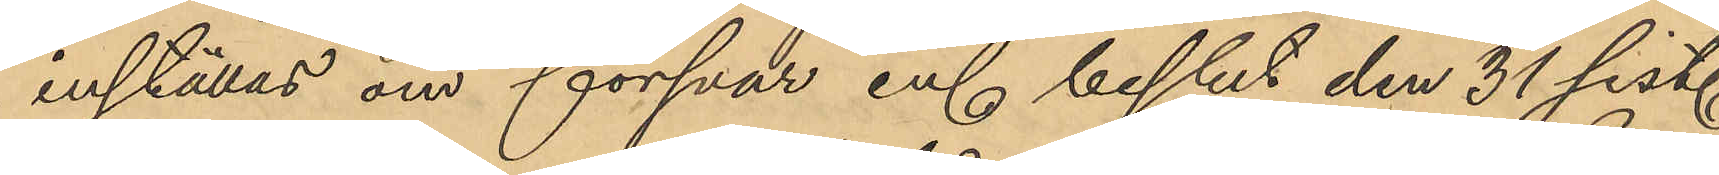inställas om försvar enl beslut den 31 sist.
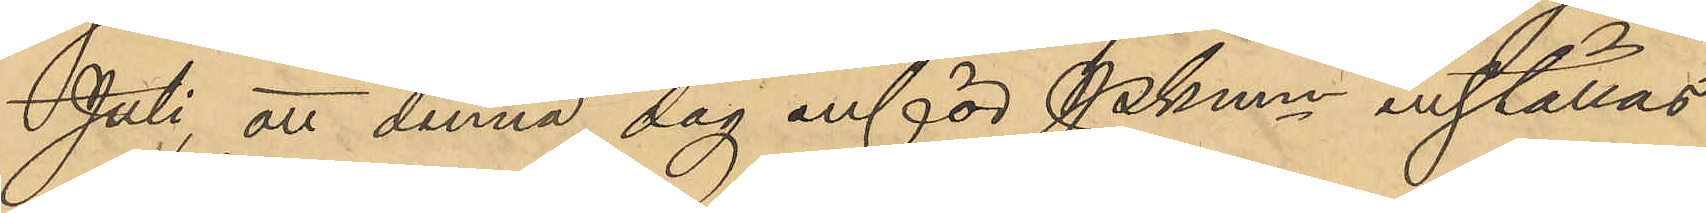Juli, att denna dag inför Pkmn inställas.
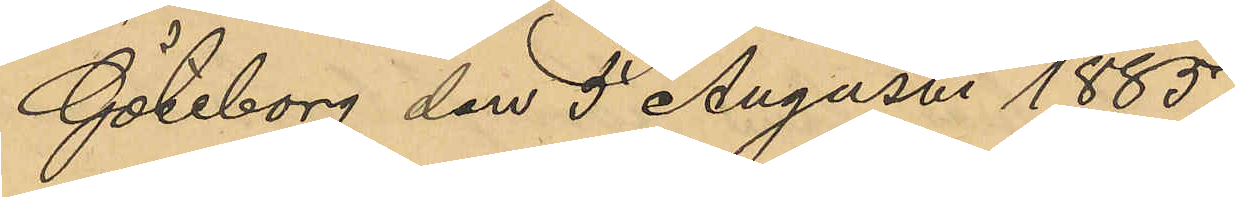Göteborg den 5 Augusti 1885.
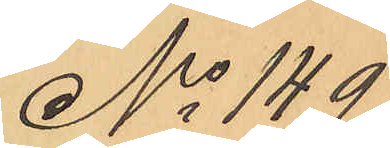No 149
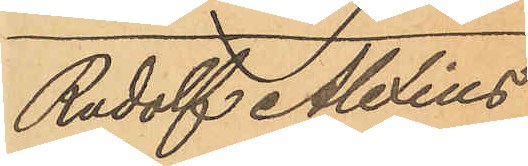Rudolf Alexius
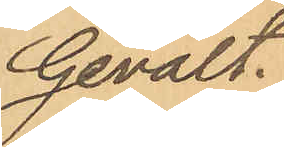Gevalt.
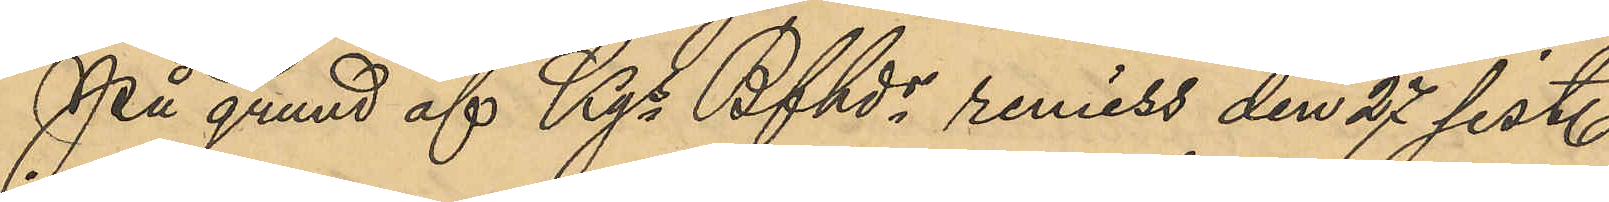På grund af Kgs Bfhds remiss den 27 sist.
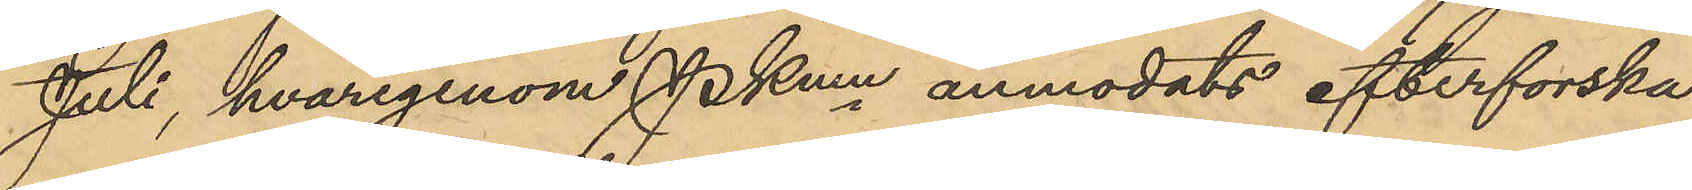Juli, hvarigenom PKmn anmodats efterforska
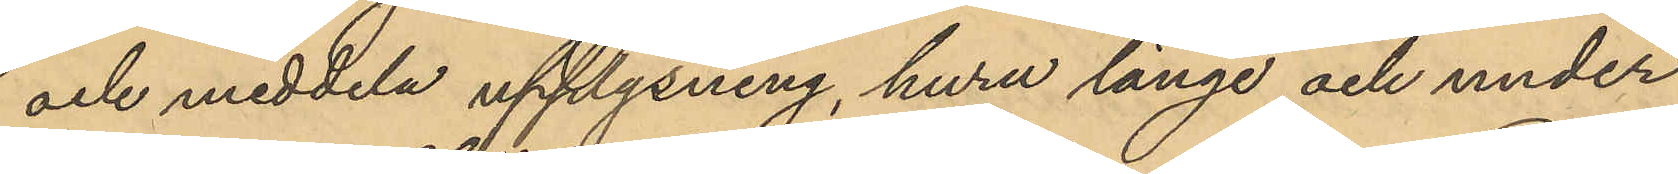och meddela upplysning, huru länge och under
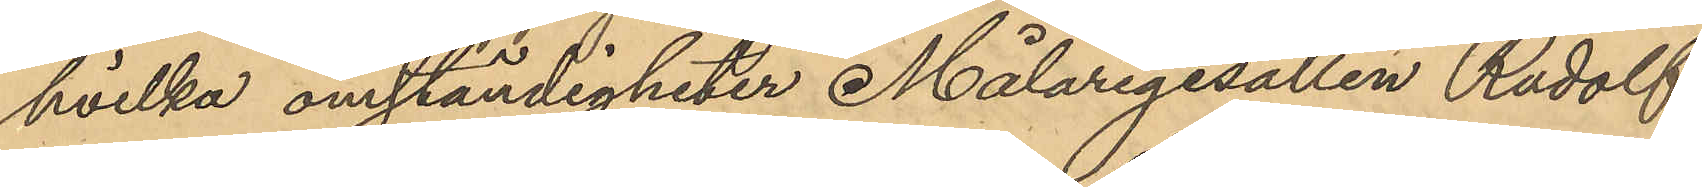hvilka omständigheter Målaregesällen Rudolf
